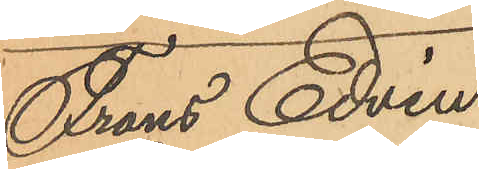Frans Edvin
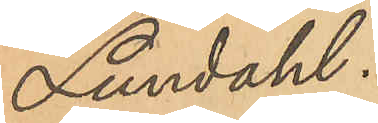Lundahl.
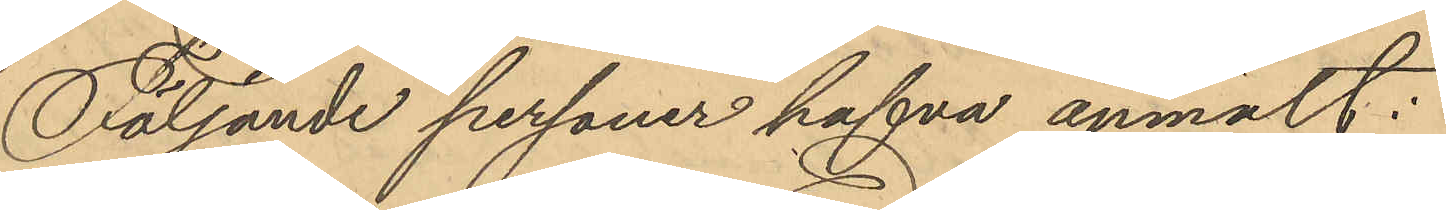Följande personer hafva anmält:
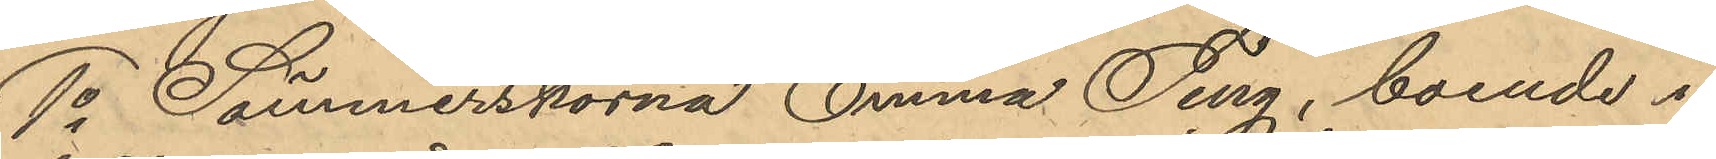1o Sömmerskorna Emma Ting, boende i
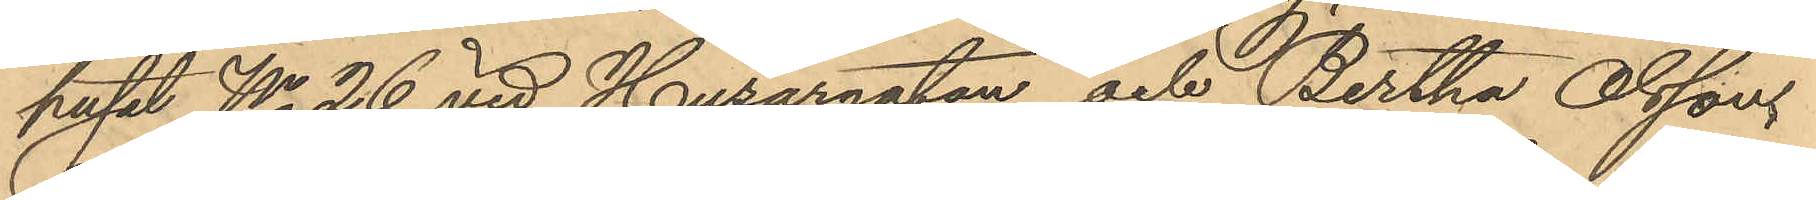huset No 26 vid Husargatan och Bertha Olssons
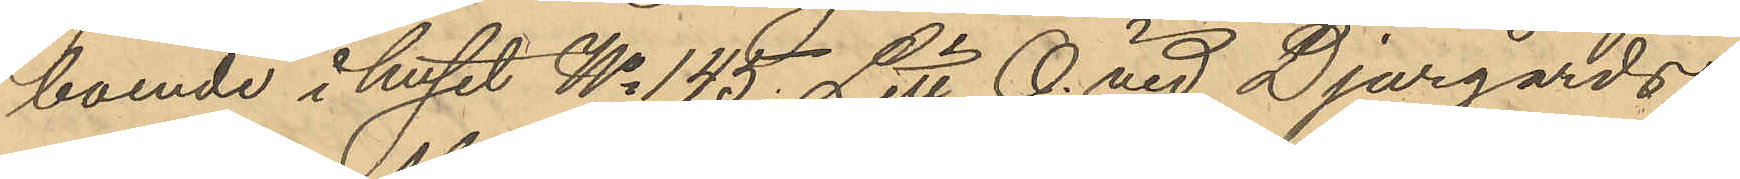boende i huset No 145 Litt. O. vid Djurgårds
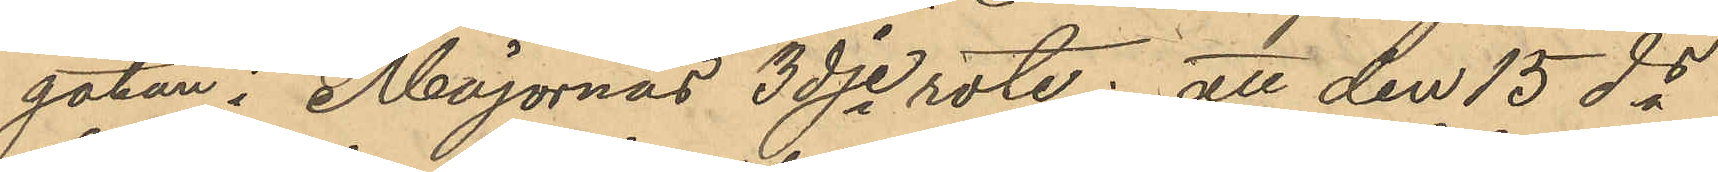gatan i Majornas 3dje rote; att den 15 ds
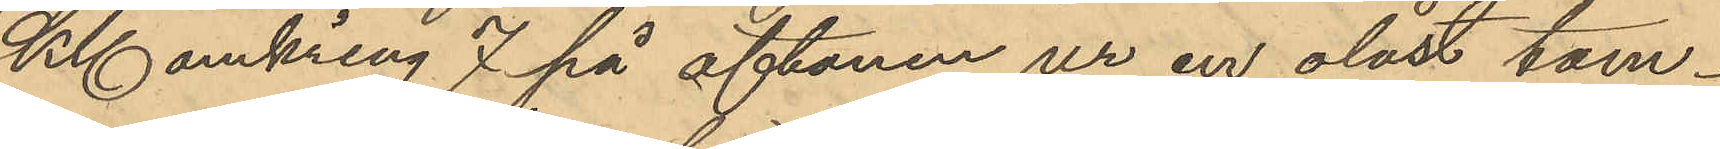Kl omkring 7 på aftonen ur en olåst tam¬
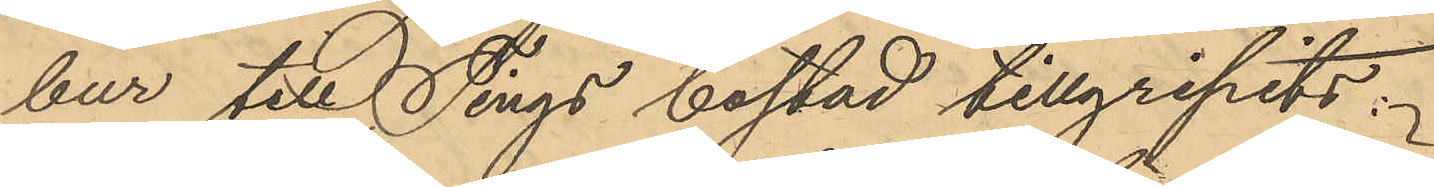bur till Tings bostad tillgripits:
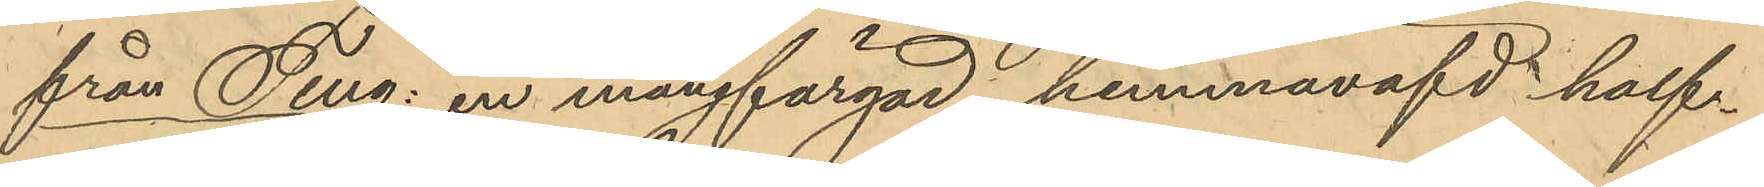från Ting: en mångfärgad hemmaväfd half¬
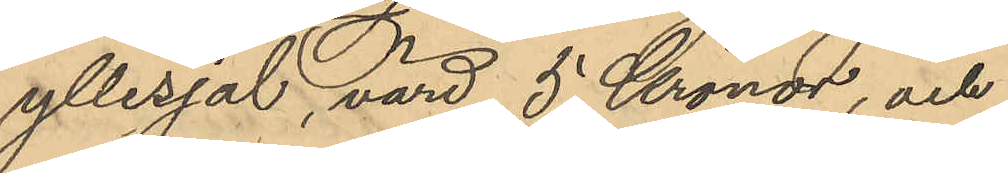yllesjal, värd 5 Kronor, och
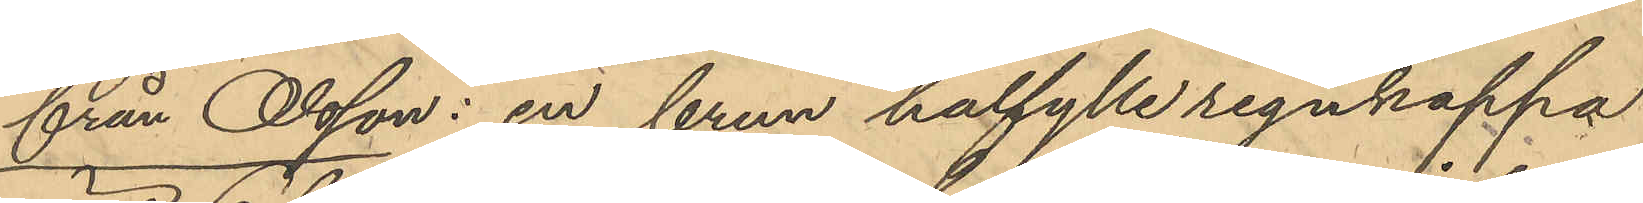från Olsson: en brun halfylle regnkappa
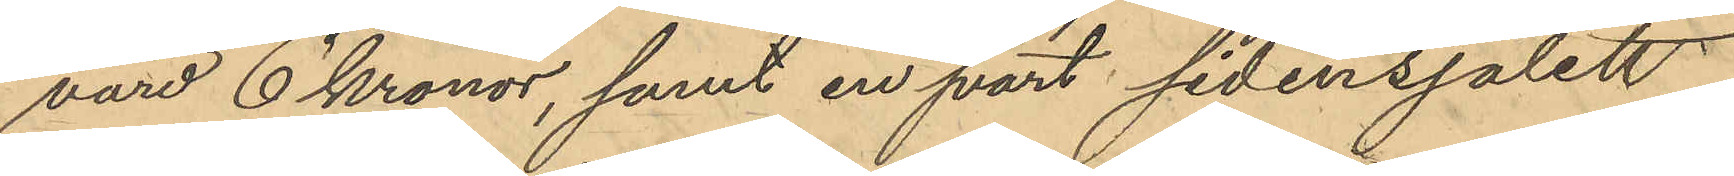värd 6 Kronor, samt en svart sidensjalett
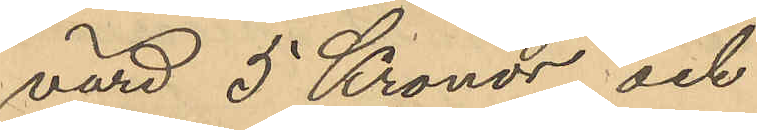värd 5 Kronor och
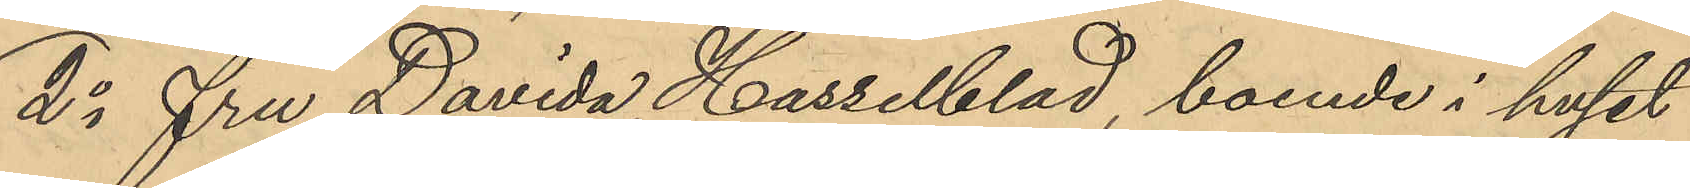2o fru Davida Hasselblad, boende i huset
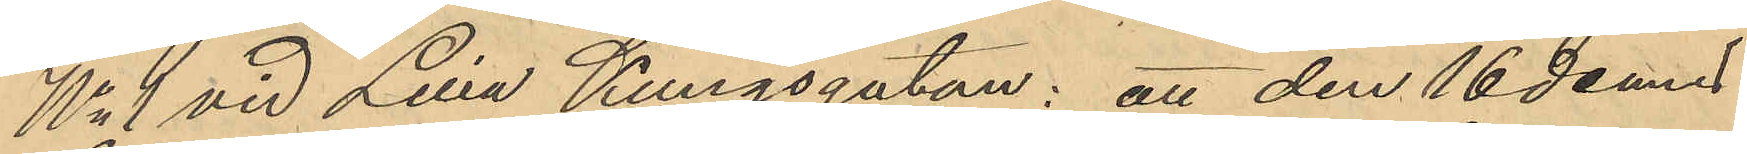No 1 vid Lilla Kungsgatan: att den 16 dennes
